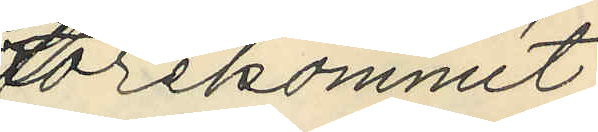förekommit,
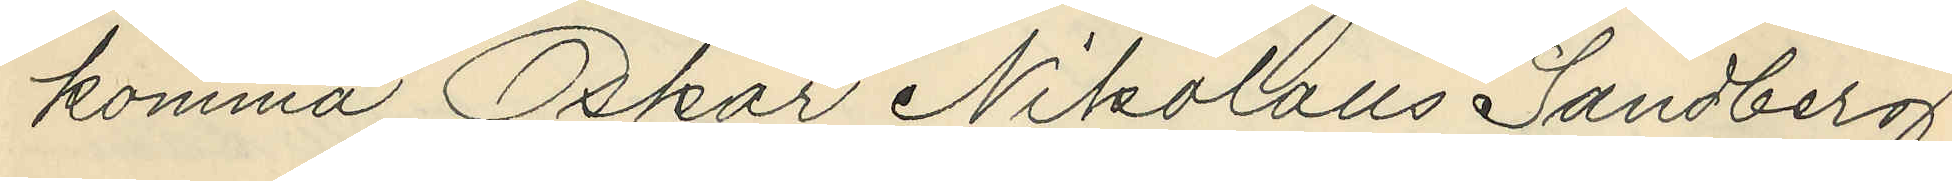komma Oskar Nikolaus Sandberg
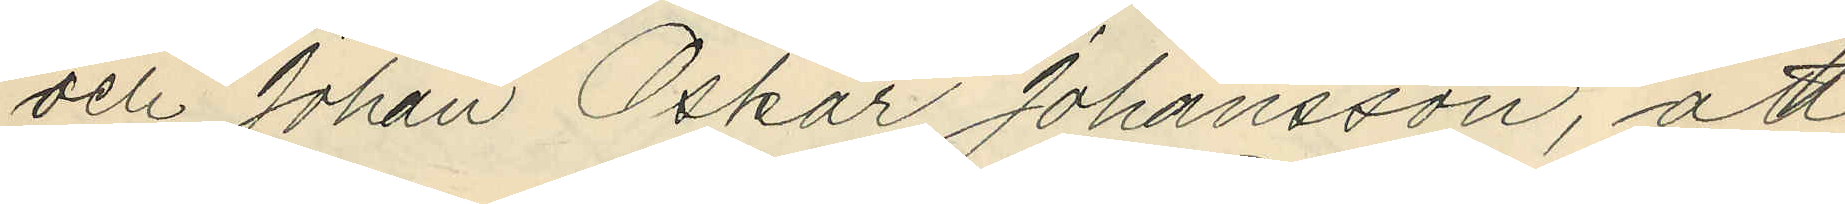och Johan Oskar Johansson, att
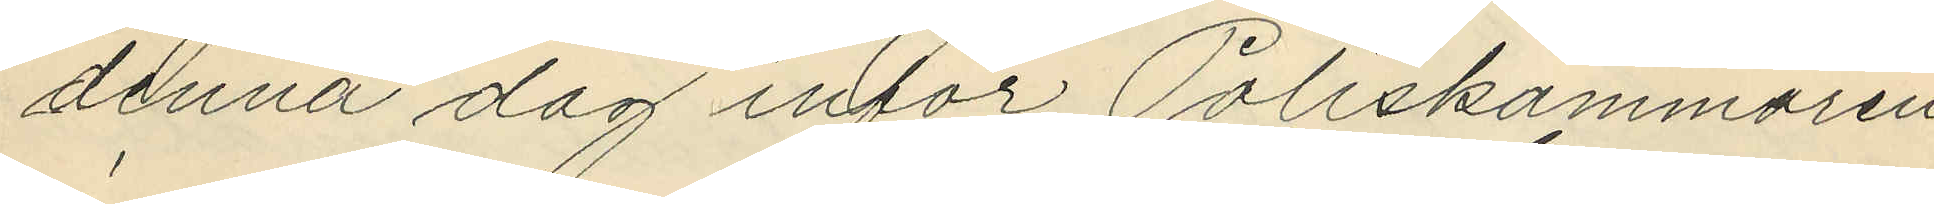denna dag inför Poliskammaren
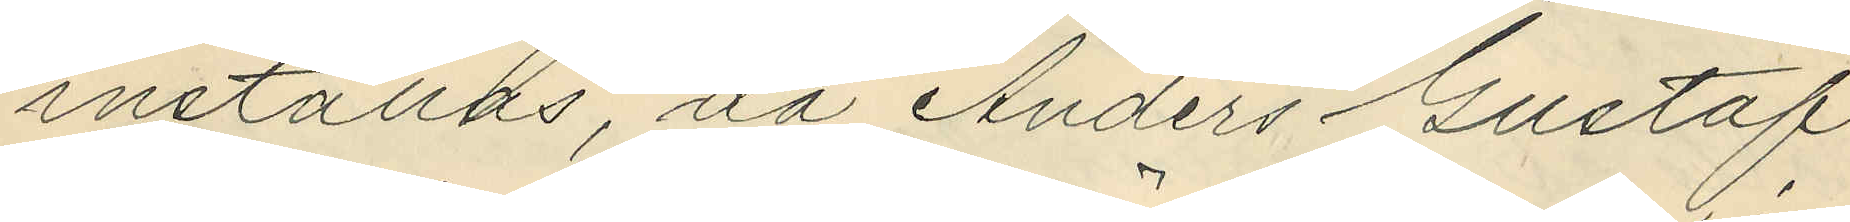inställas, då Anders Gustaf
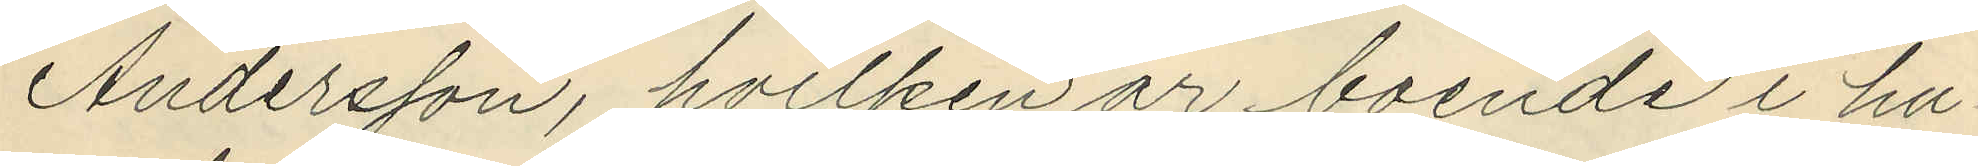Andersson, hvilken är boende i hu¬
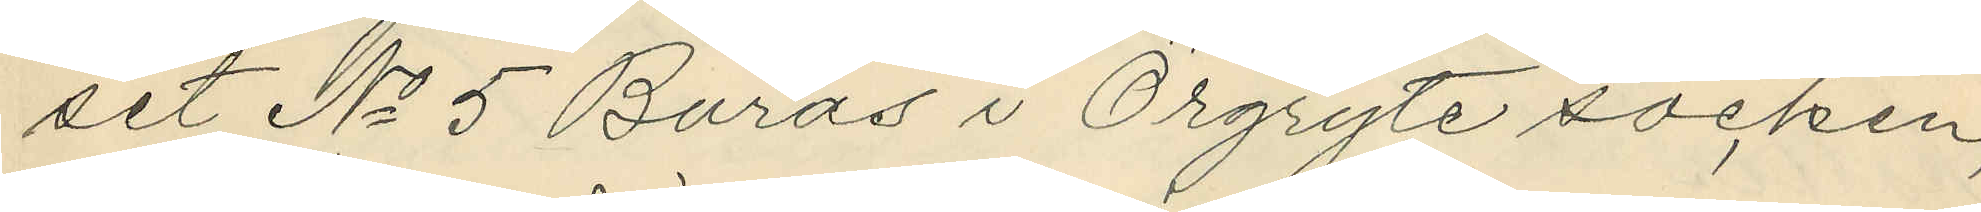set No 5 Burås i Örgryte socken,
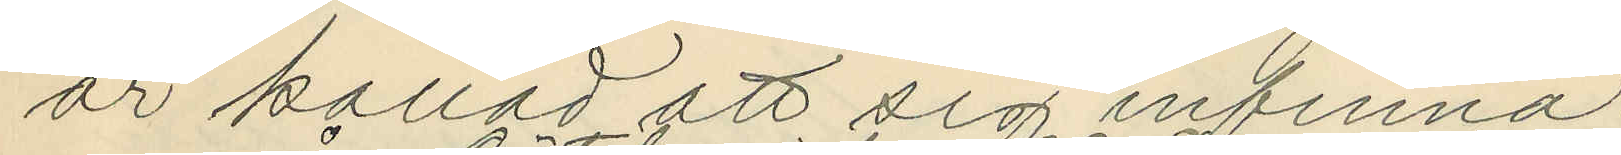är kallad att sig infinna.
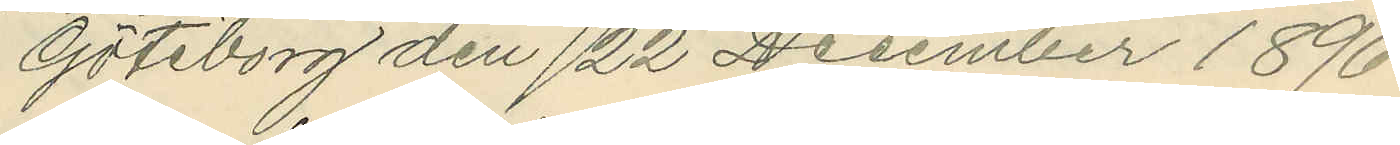Göteborg den 22 December 1896.
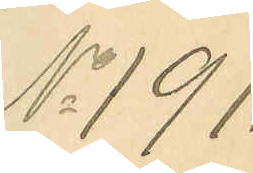No 191.
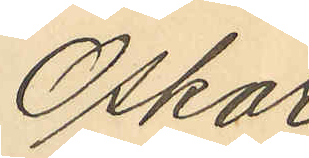Oskar
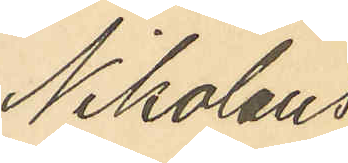Nikolaus
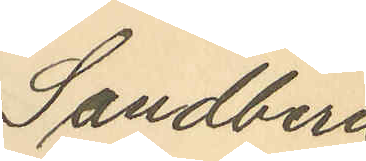Sandberg
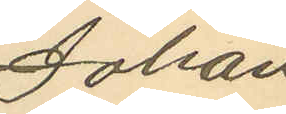Johan
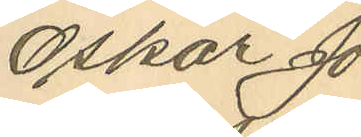Oskar Jo¬
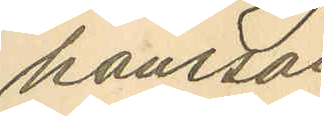hansson
